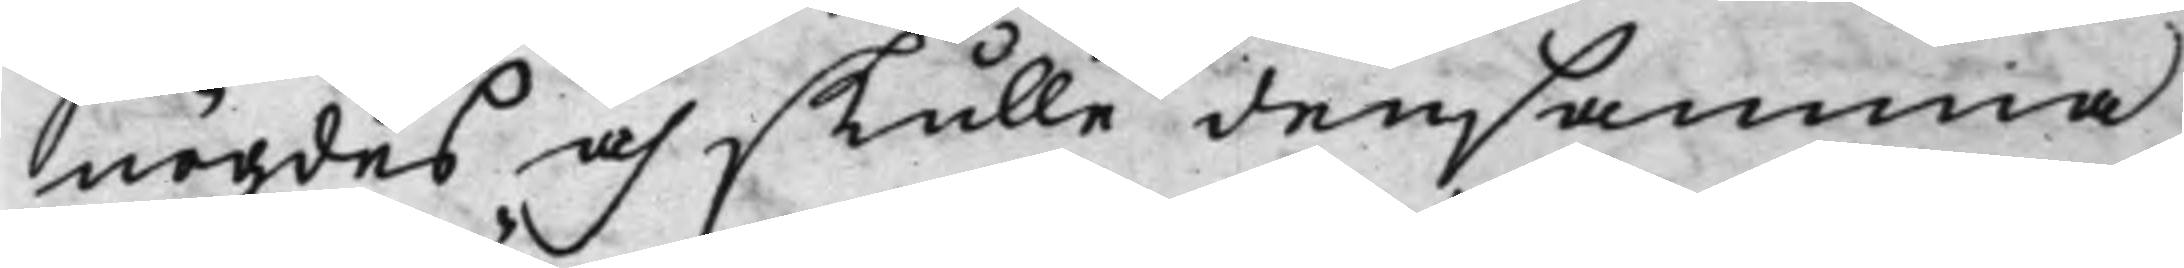nögdes och skulle densamma
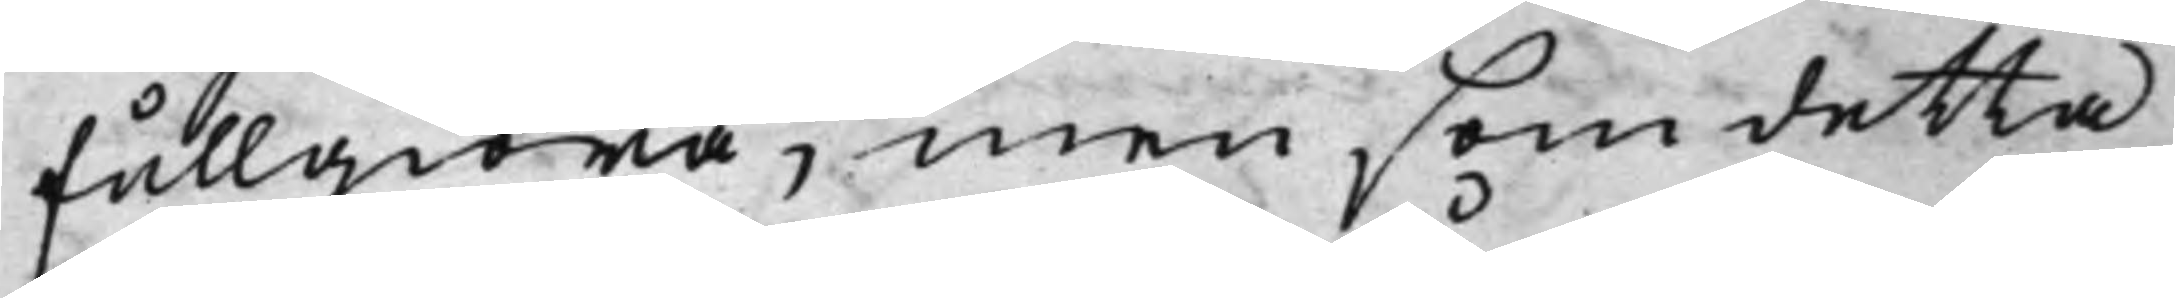fullgiöra, men, som detta
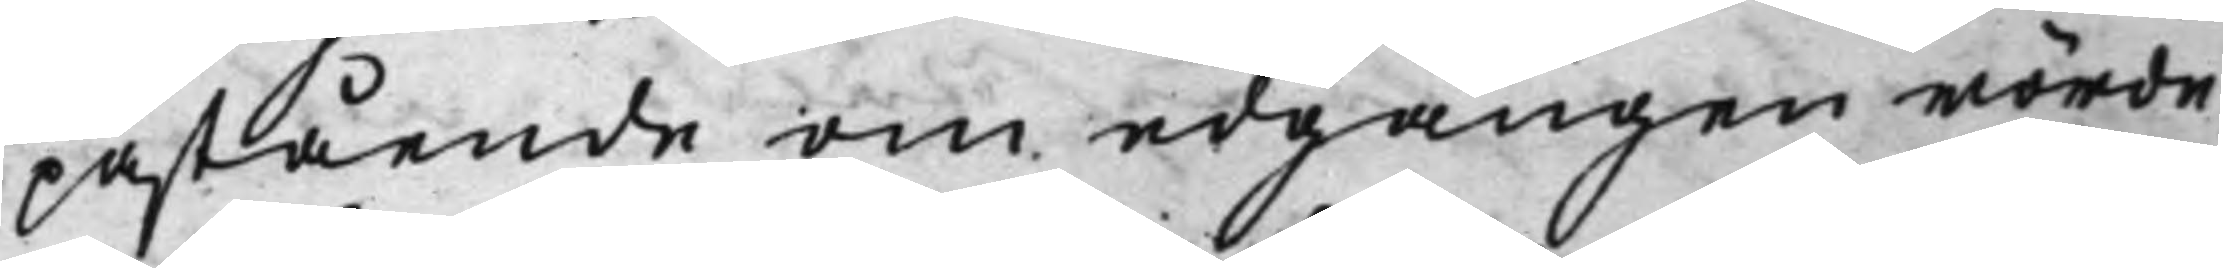påstående om edgången rörde
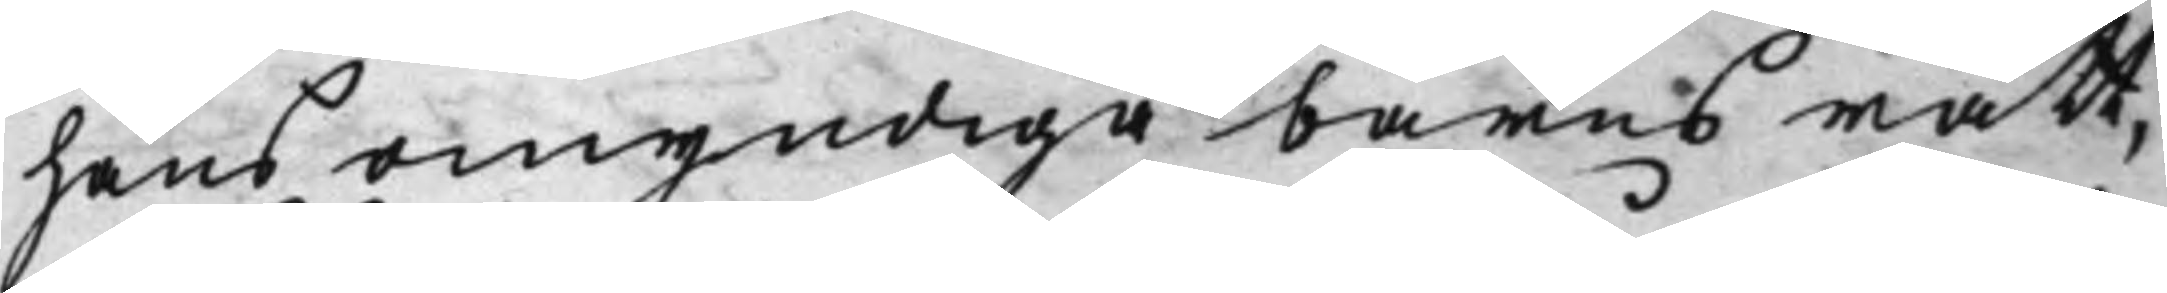hans omyndiga barns rätt,
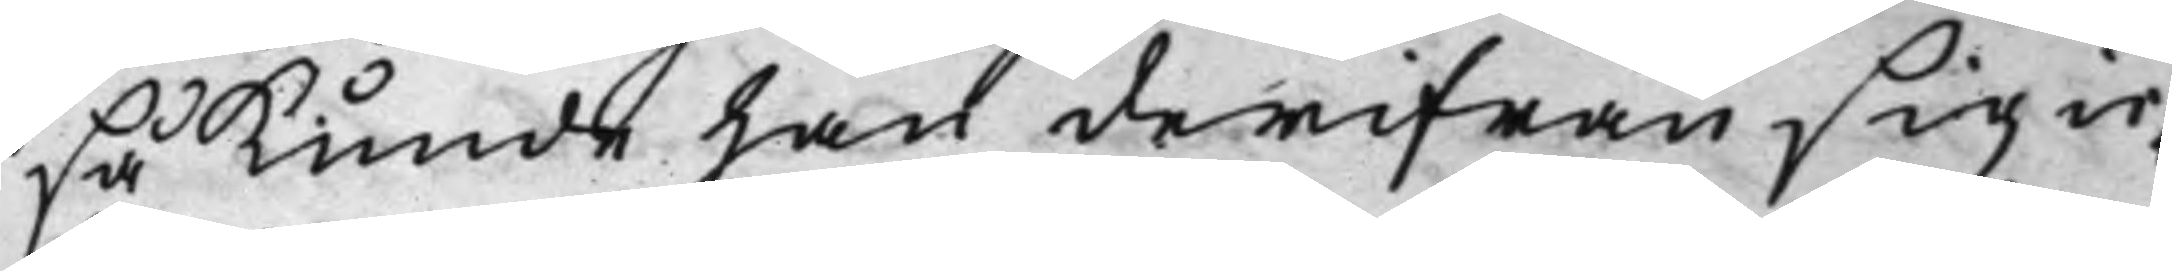så kunde han derifrån sig ic¬
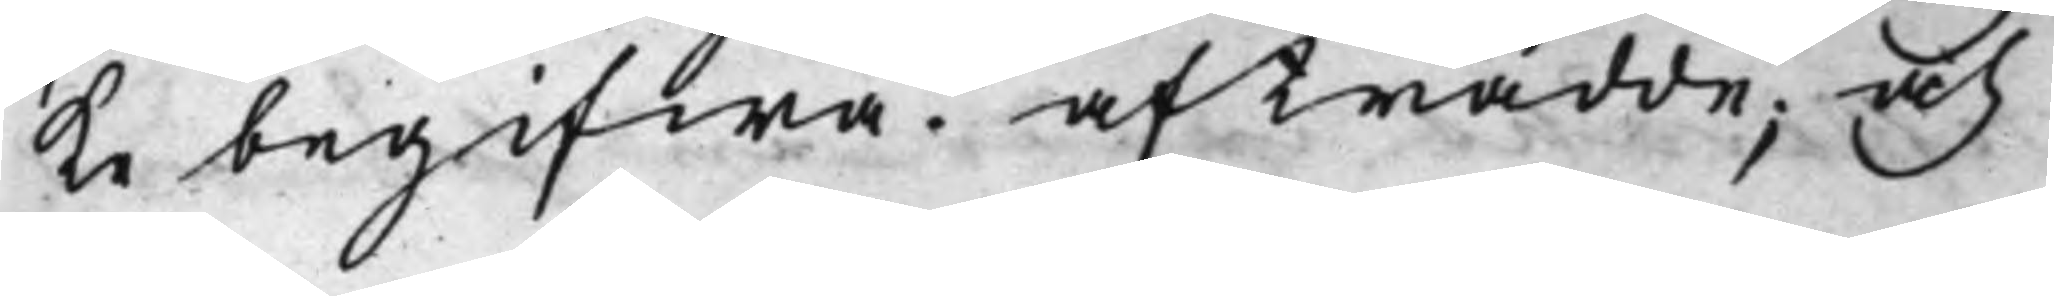ke begifwa. afträdde; och
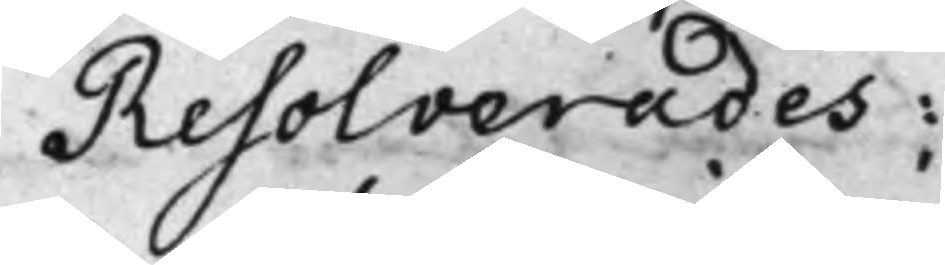Resolverades:
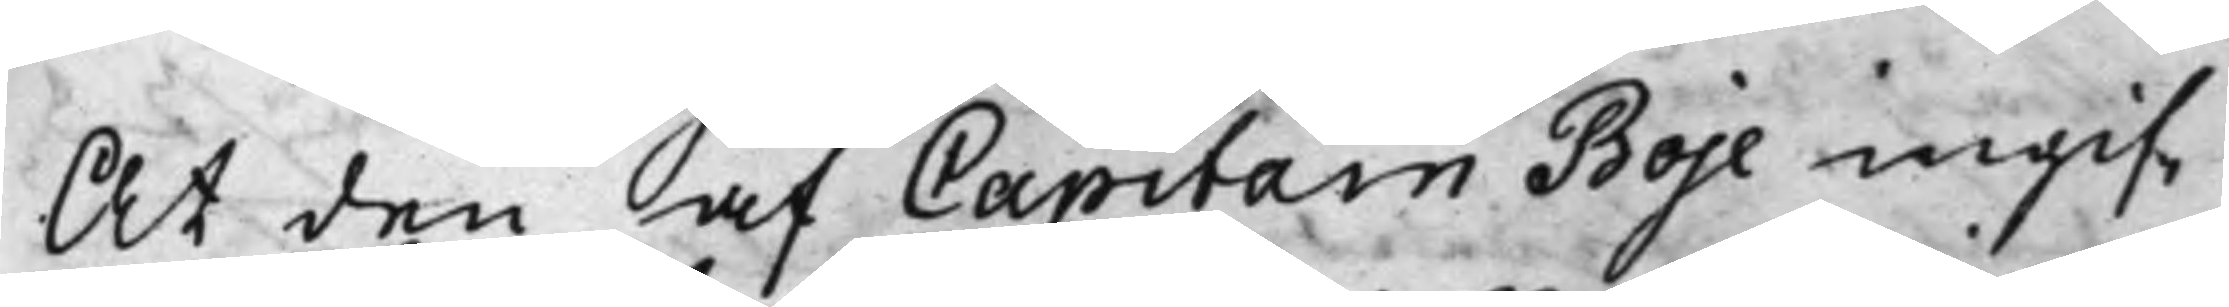At den af Capitain Boje ingif¬
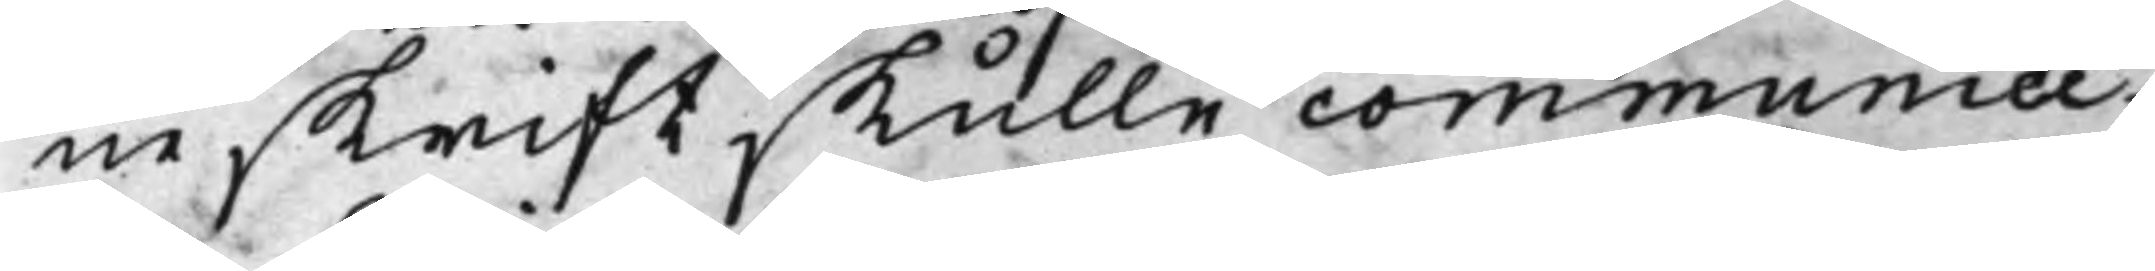ne skrift skulle communice¬
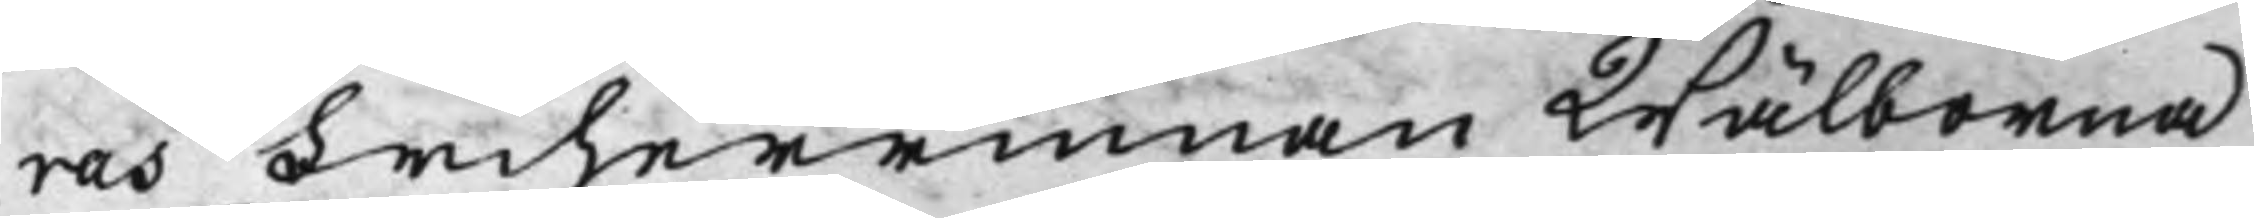ras Friherrinnan Wälborna
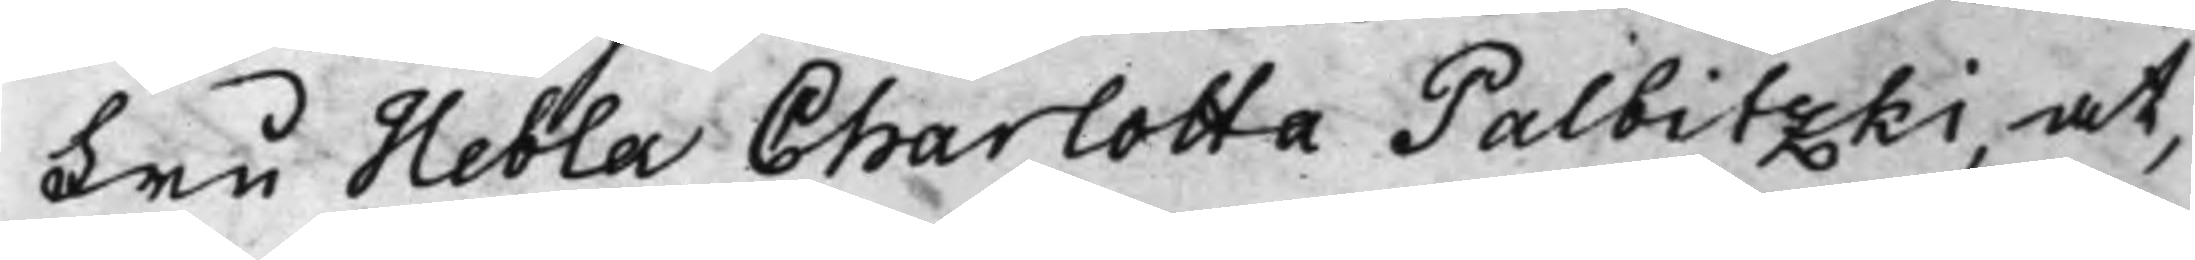Fru Hebla Charlotta Palbitzki, at,
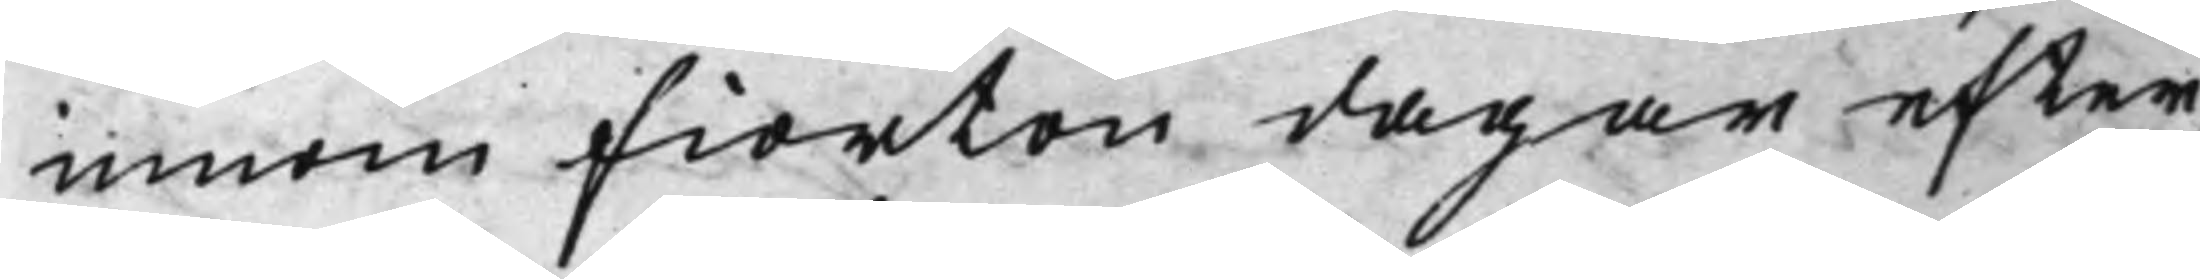innom fiorton dagar efter
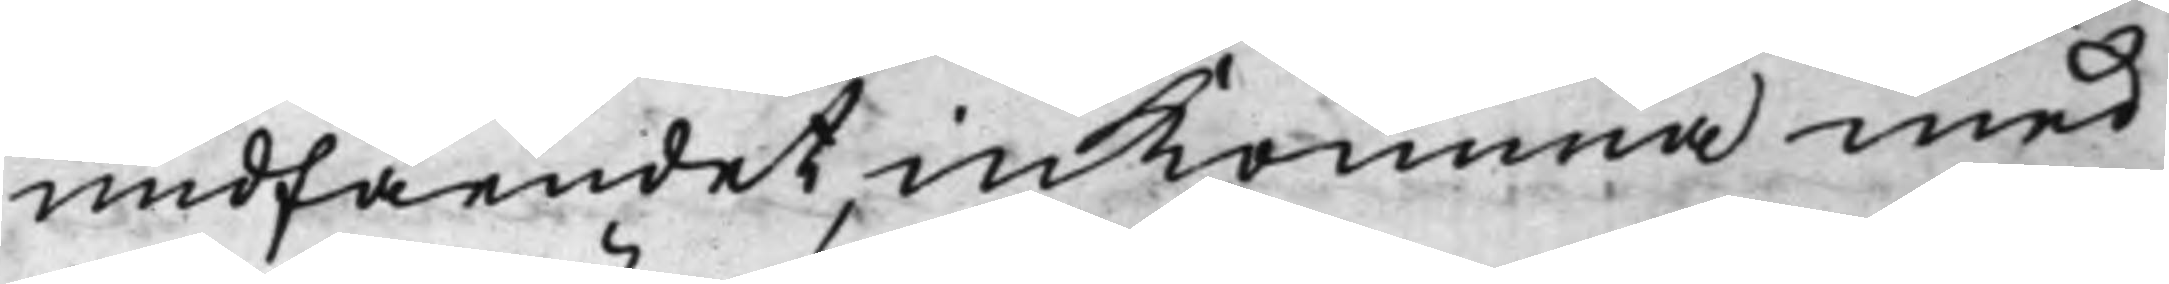undfåendet, inkomma med
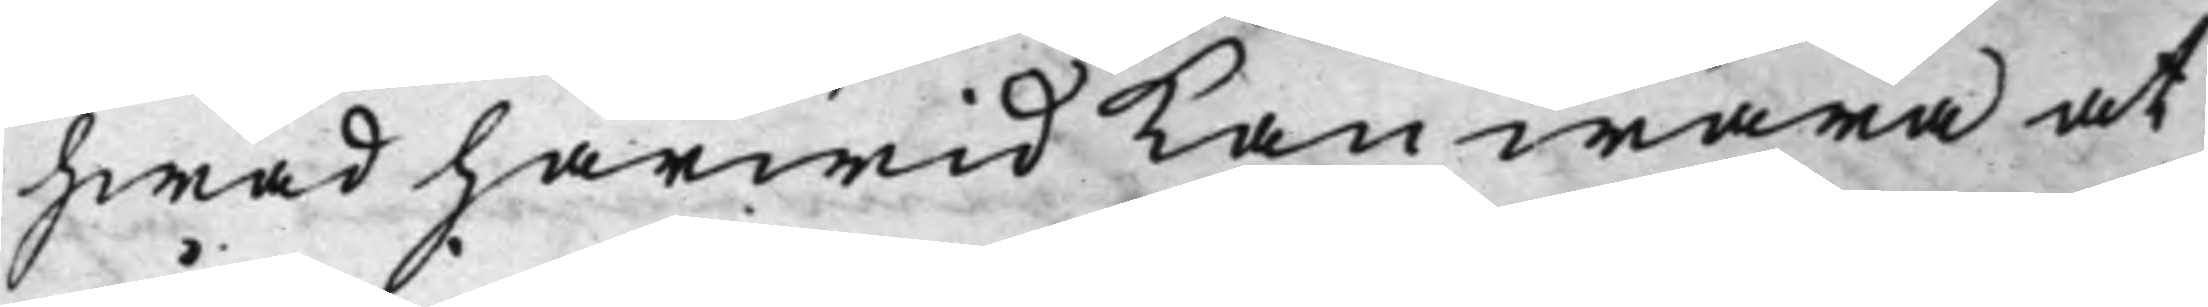hwad härwid kan wara at
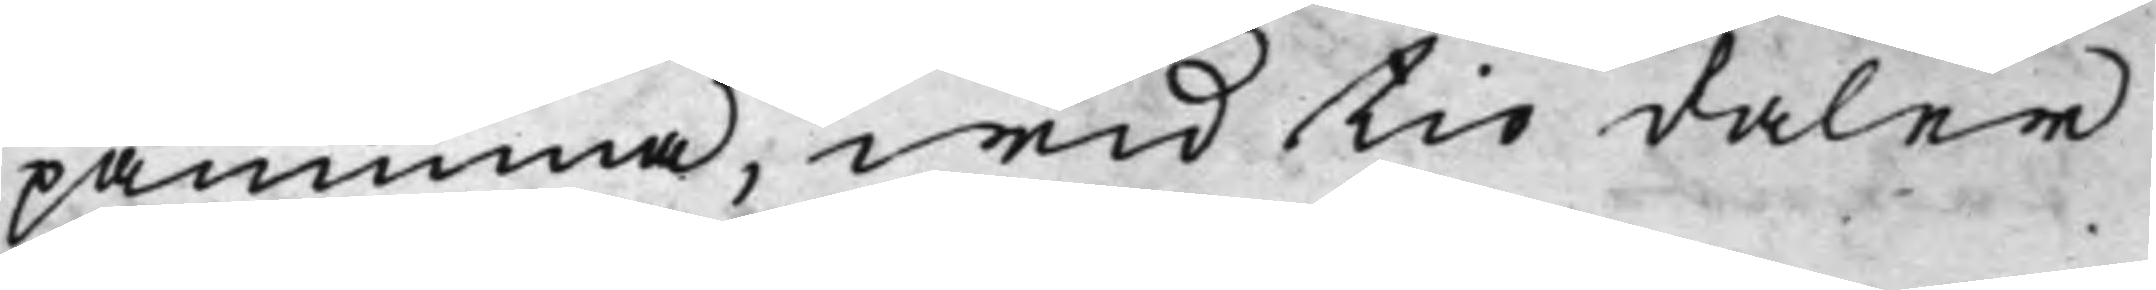påminna, wid tio daler
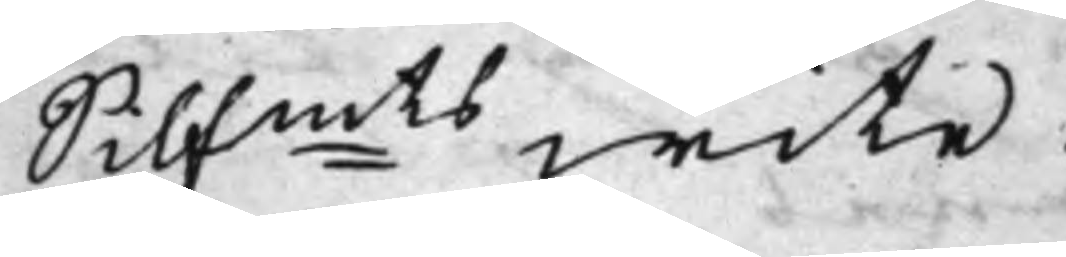Silfmts wite.
